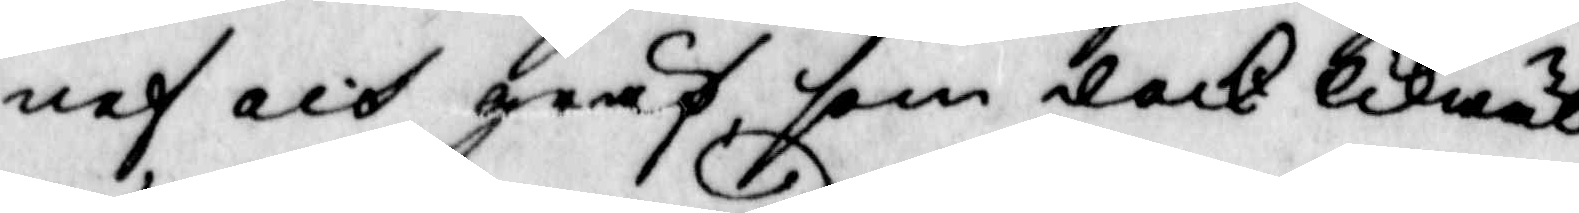nef och gräf, som dock likwäl
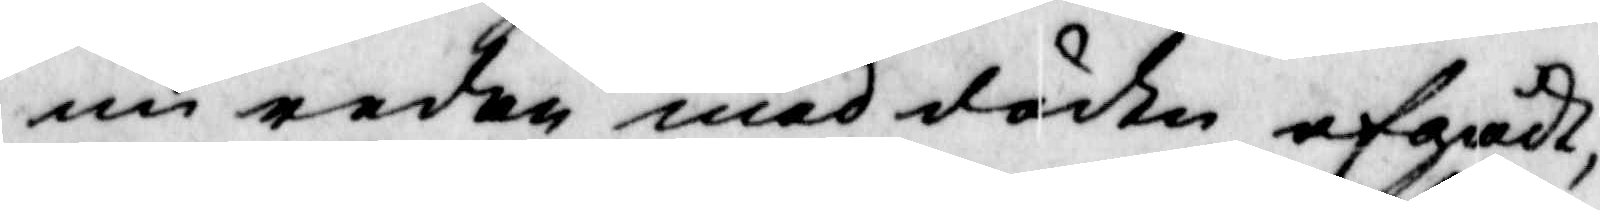nu redan med döden afgådt,
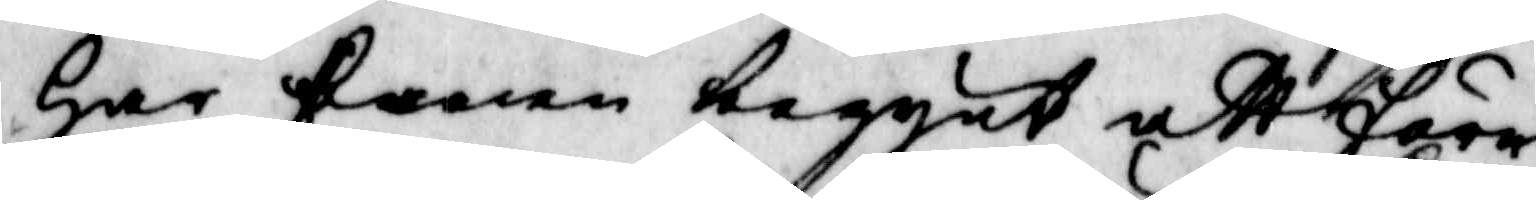har fanen taggat att före¬
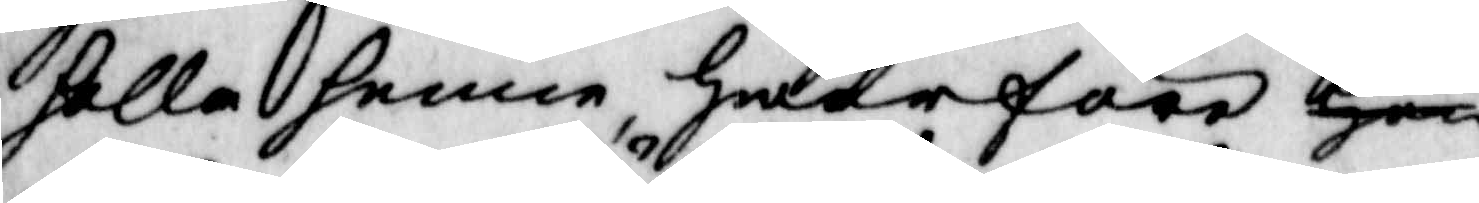holla henne, Hwarföre Hon
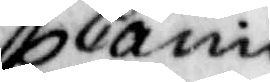Carin
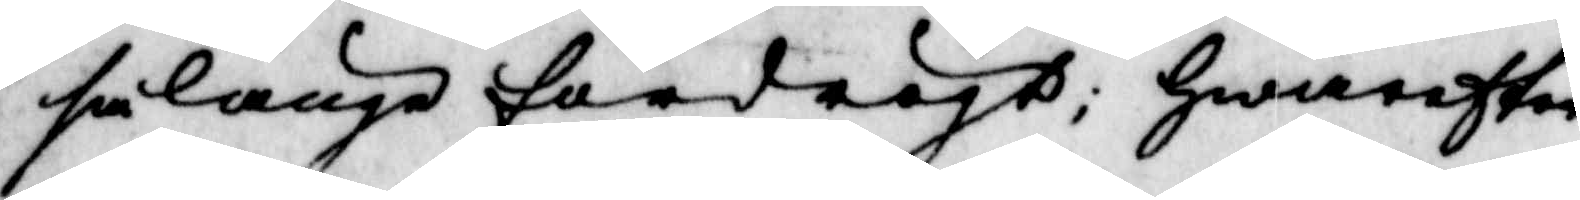så länge fördrögt, Hwarefter
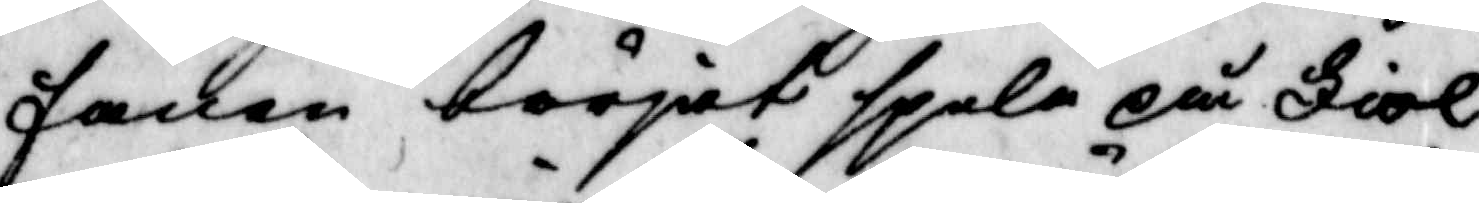fanan börjat spela på Fiol
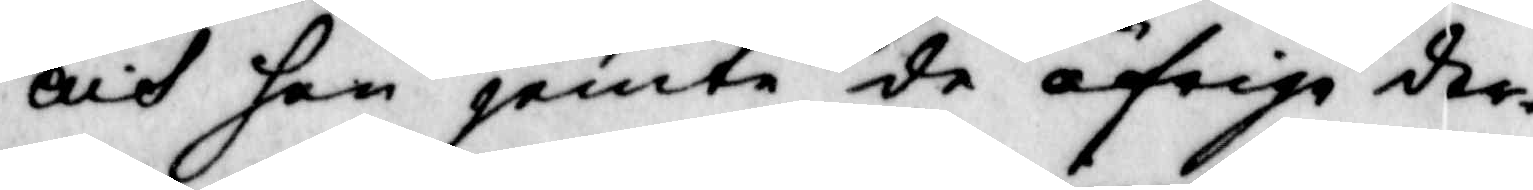och han jemte de öfrige der¬
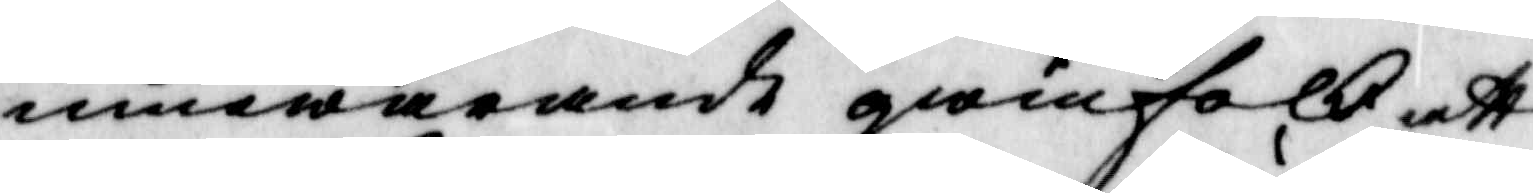innewarande qwinfolk, att
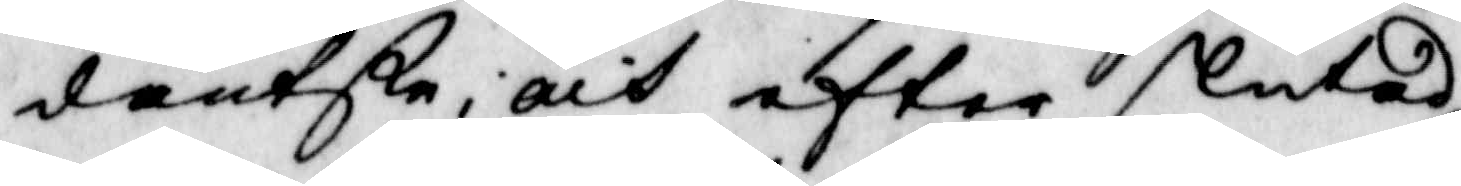dantsa, och effer slutad
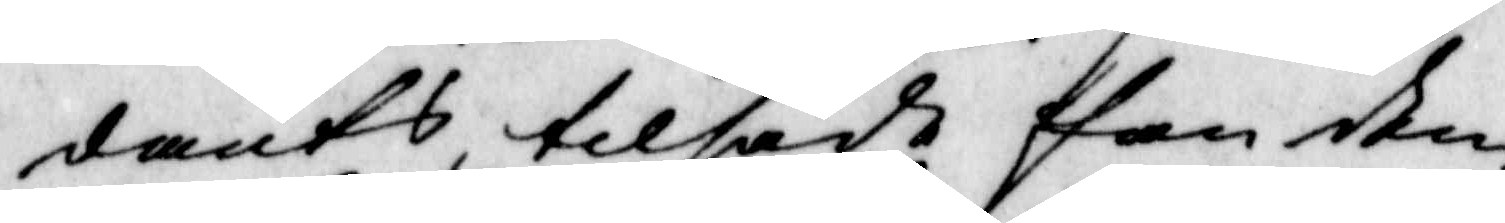dants, tillsade han dem
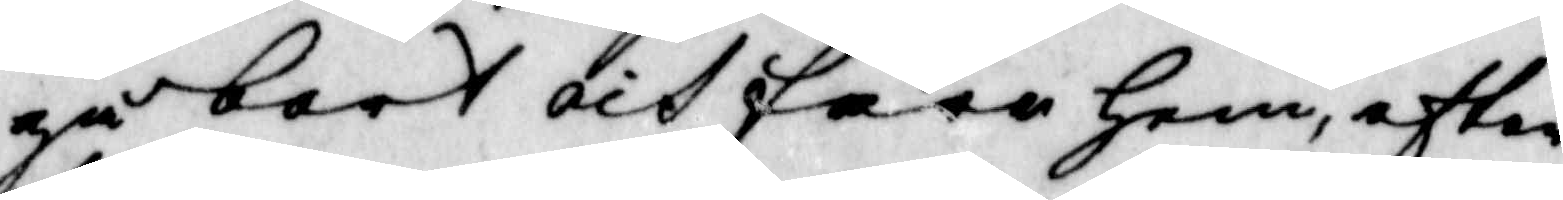gå bort och fara hem, efter
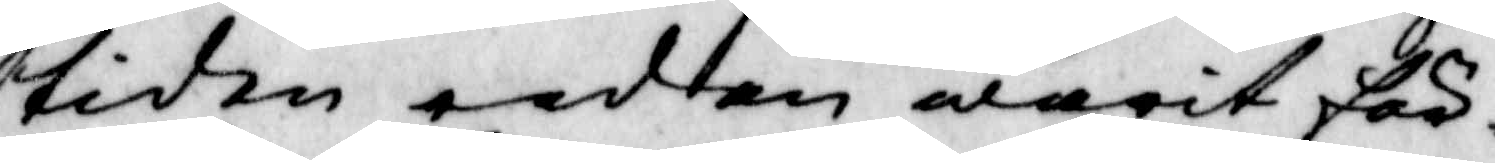tiden redan warit för¬
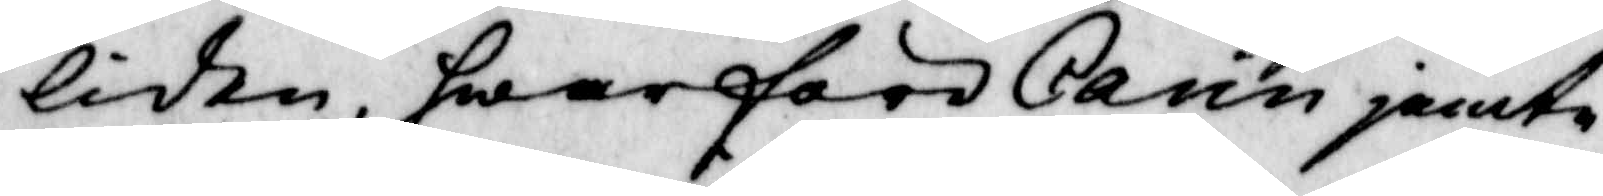liden, hwarföre Carin jemte
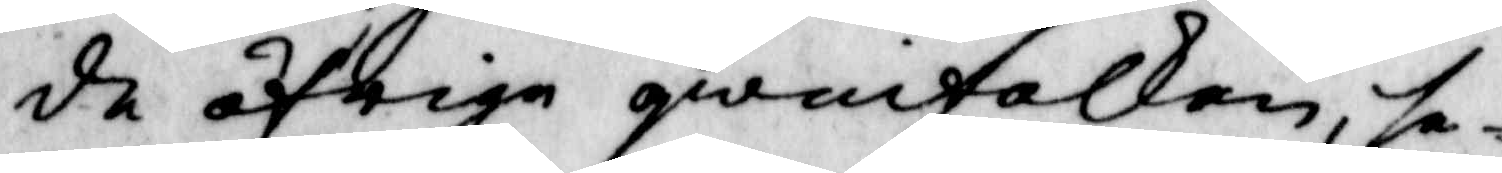de öfrige qwinfolken, de¬
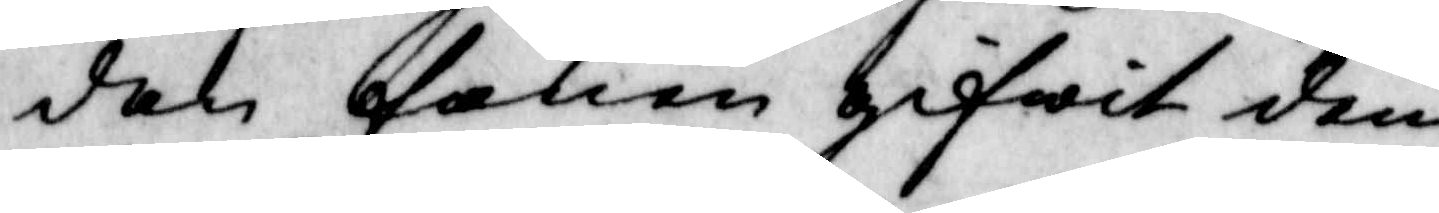dan fanen gifwit dem
